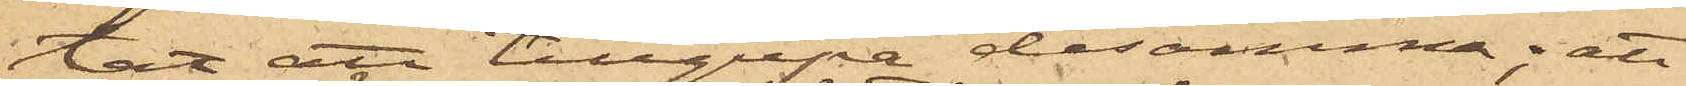tat att tillgripa desamma; att
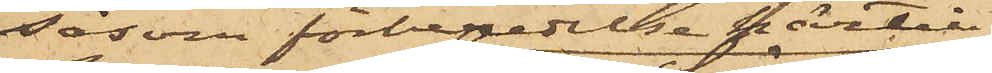såsom förberedelse härtill
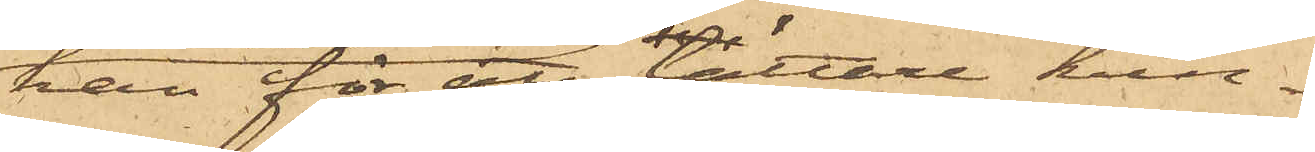han för att lättare kun¬
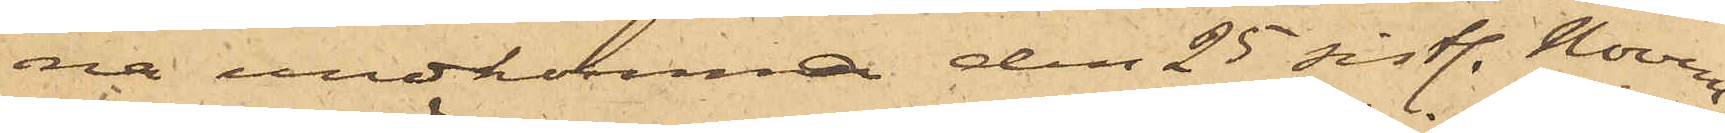na undkomma den 25 sist. Novem¬
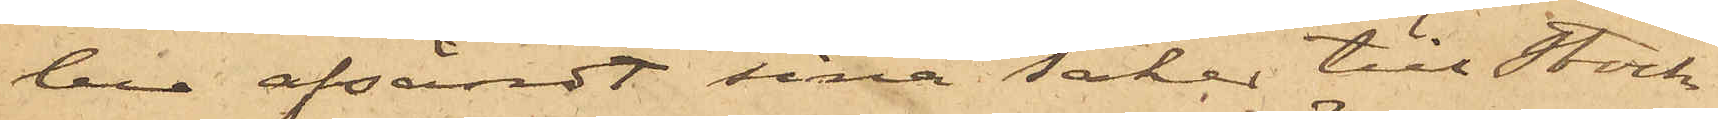ber afsändt sina saker till Stock¬
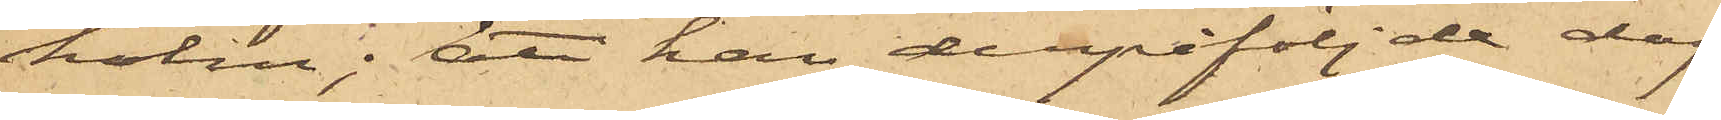holm; att han derpåföljde dag
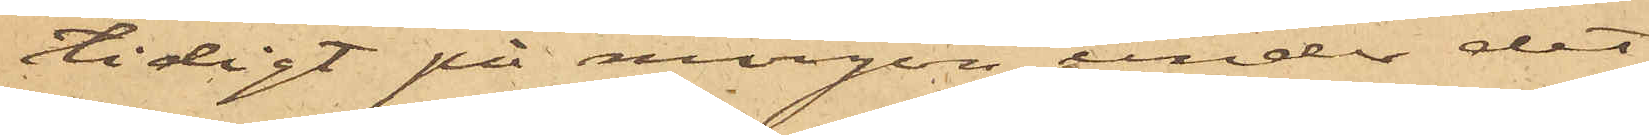tidigt på morgon under det
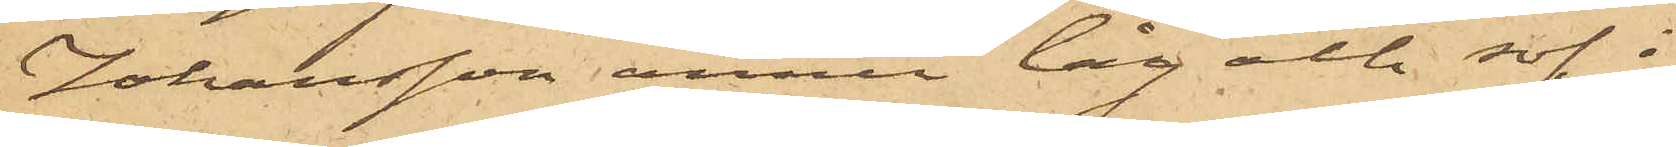Johansson ännu låg och sof i
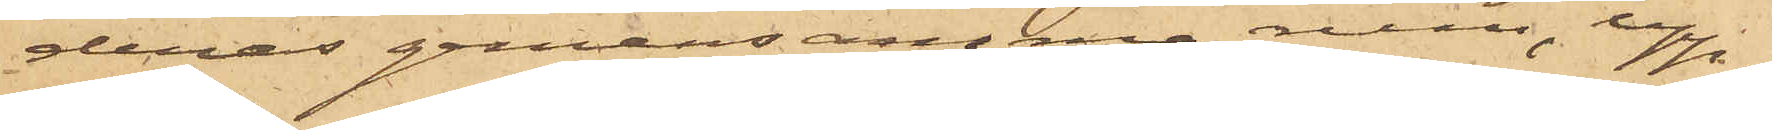deras gemensamma rum, upp¬
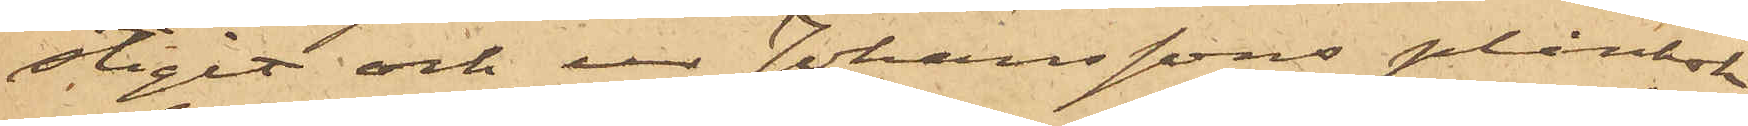stigit och ur Johanssons plånbok
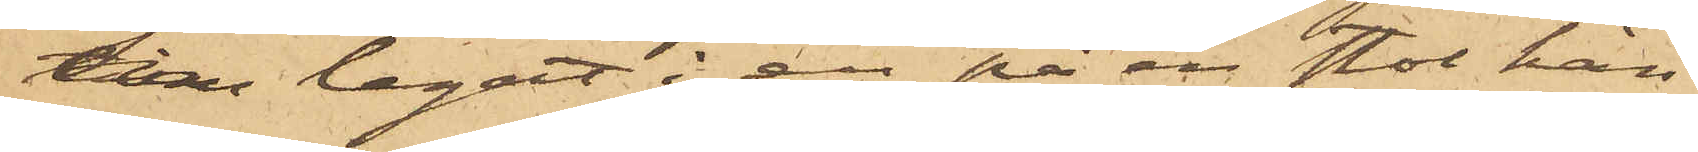som legat i en på en stol hän¬
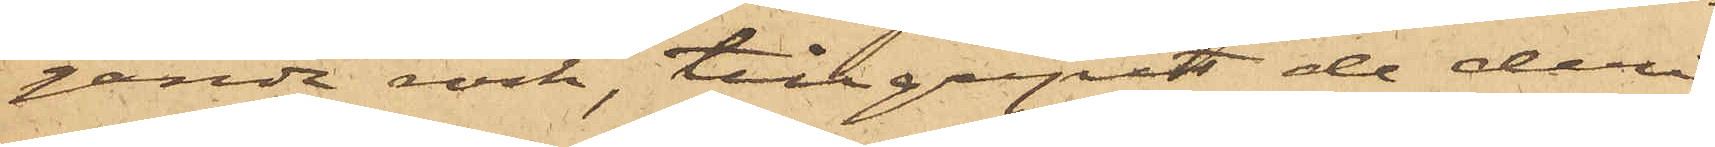gande rock, tillgripit de deri
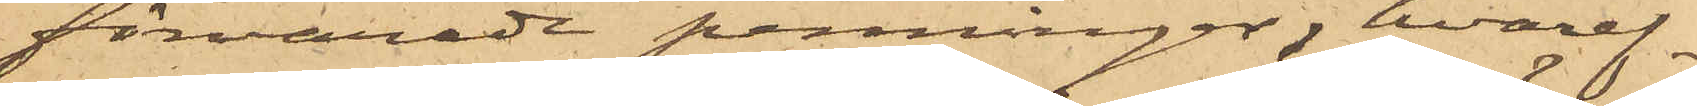förvarade penningar, hvaref¬
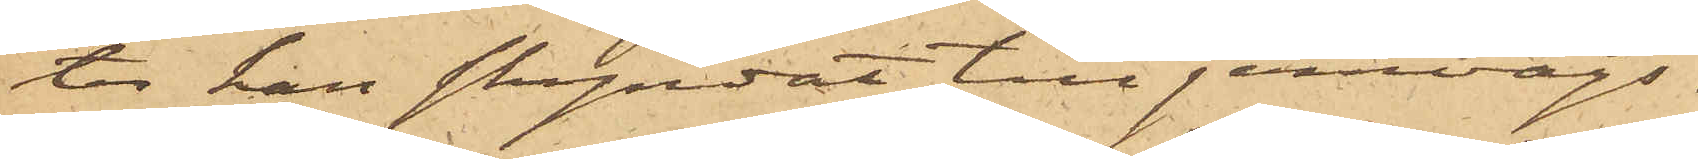ter han skyndat till jernvägs¬
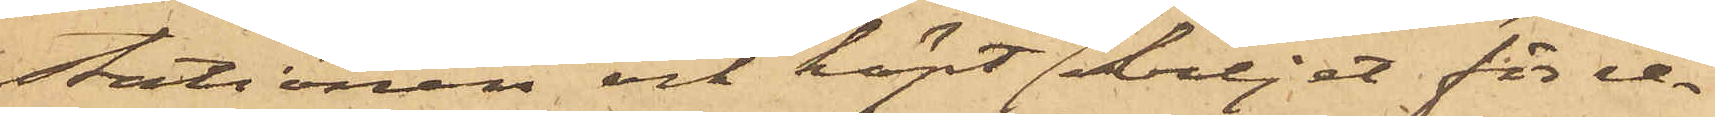stationen och köpt biljett för re¬
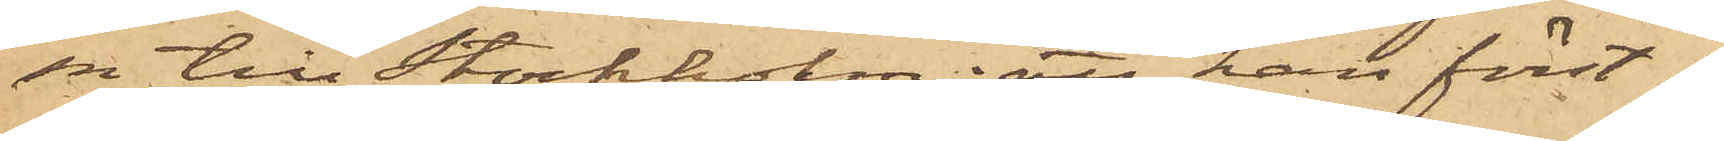sa till Stockholm: att han först i
